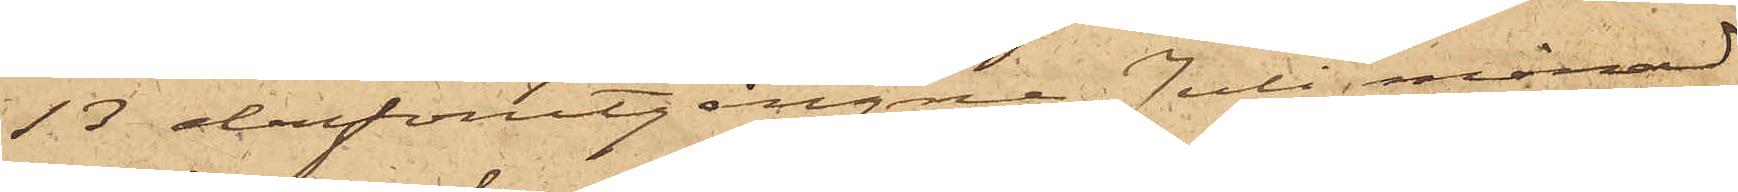13 derförutgångne Juli månad
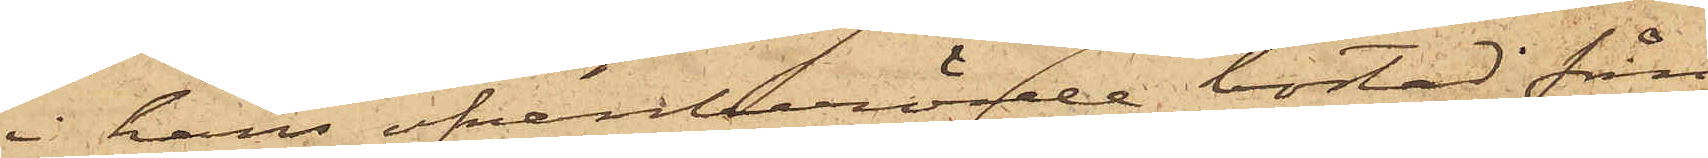i hans ofvanberörde bostad från
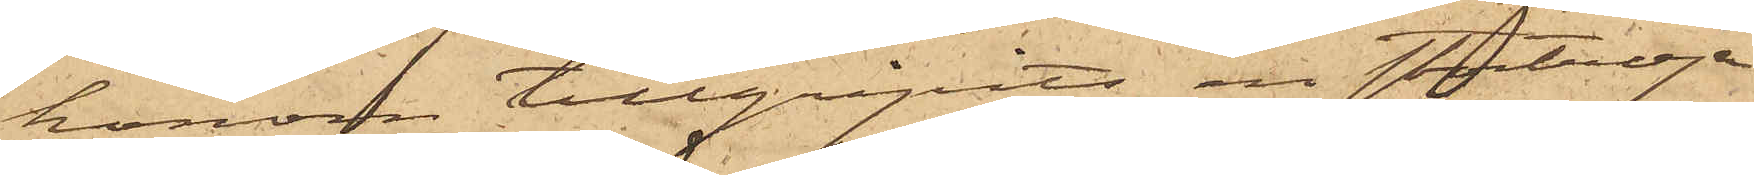honom tillgripits en stortröja
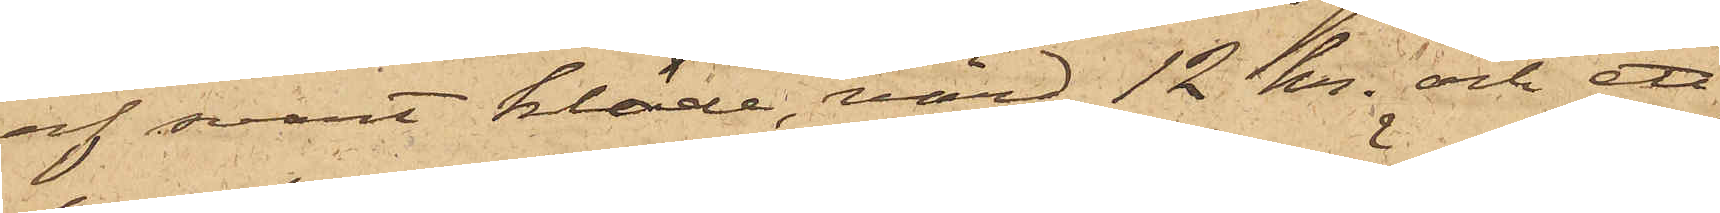af svart kläde, värd 12 kr. och ett
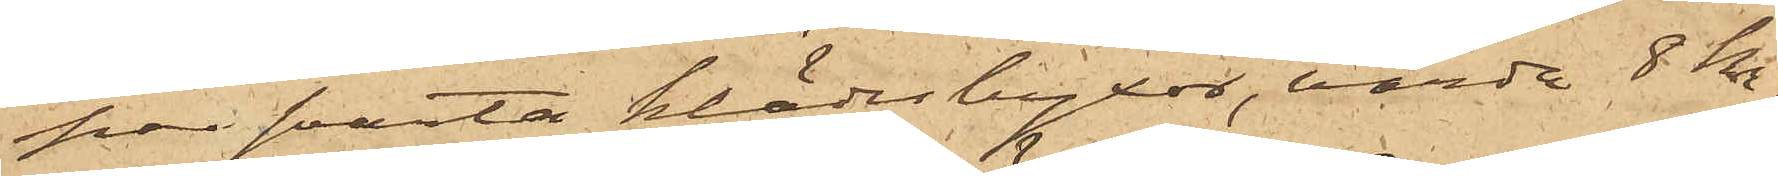par svarta klädesbyxor, värda 8 Kr.
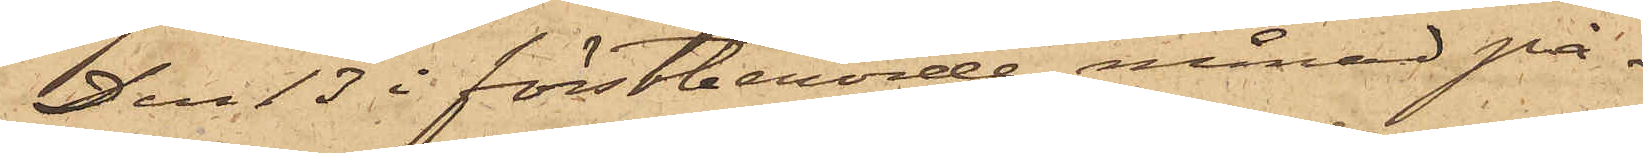Den 13 i förstberörde månad på¬
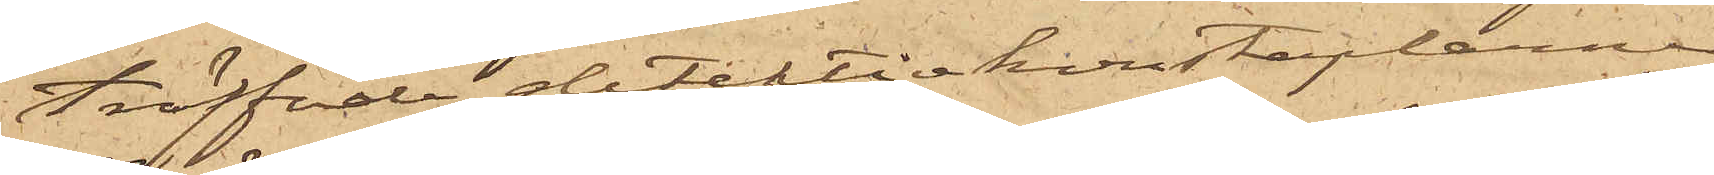träffade detektivkonstaplarne
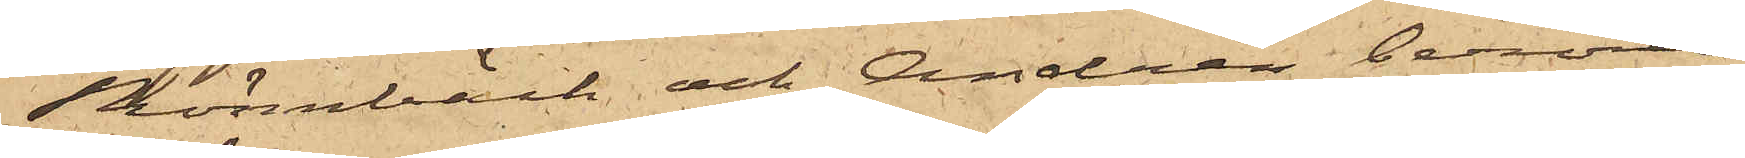Rönnbäck och Andrén berörde
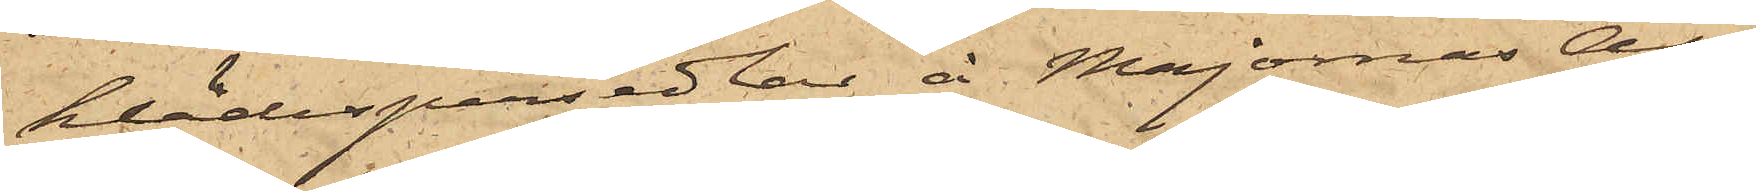klädespersedlar å Majornas All¬
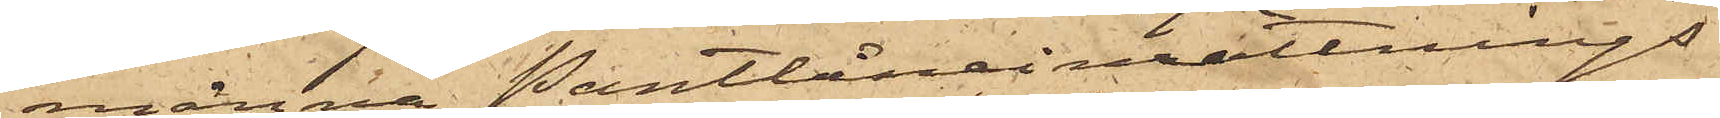männa Pantlåneinrättnings
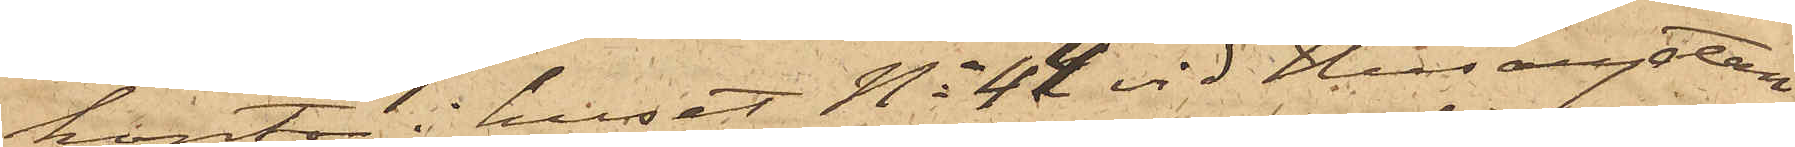kontor i huset No 44 vid Husargatan
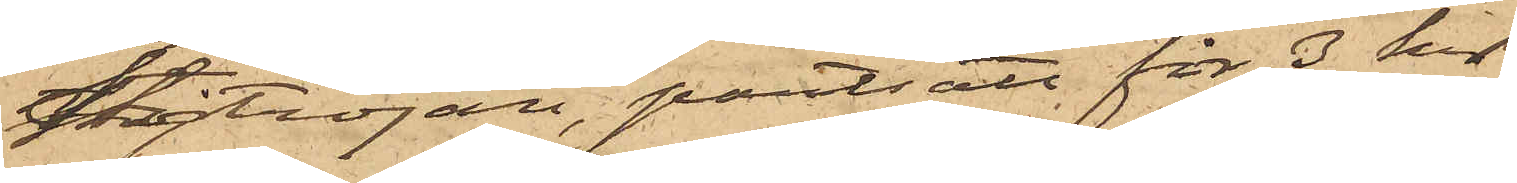stortröjan, pantsatt för 3 Kr
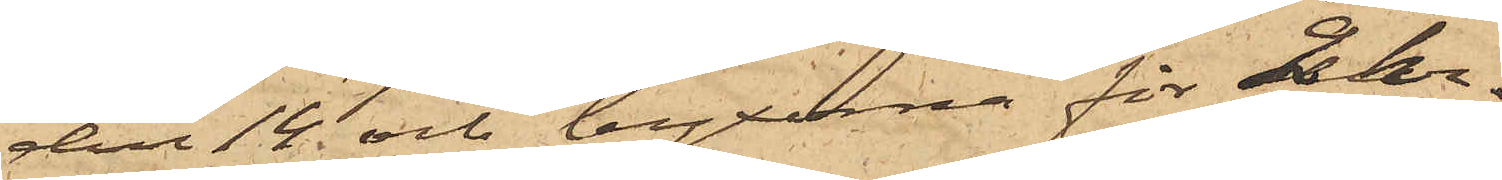den 14 och byxorna för 2 Kr
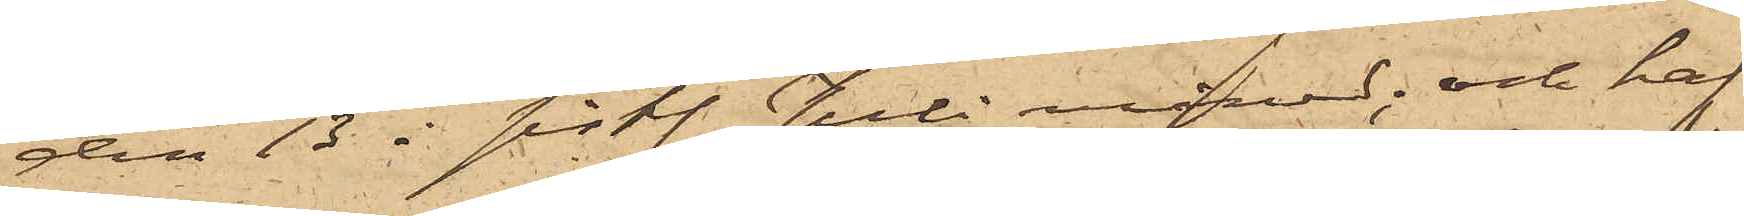den 13 i sist. Juli månad; och haf¬
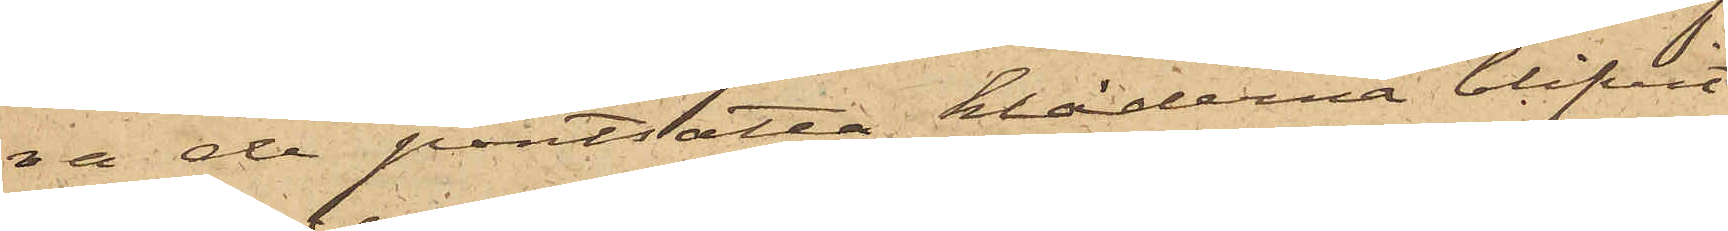va de pantsatta kläderna blifvit
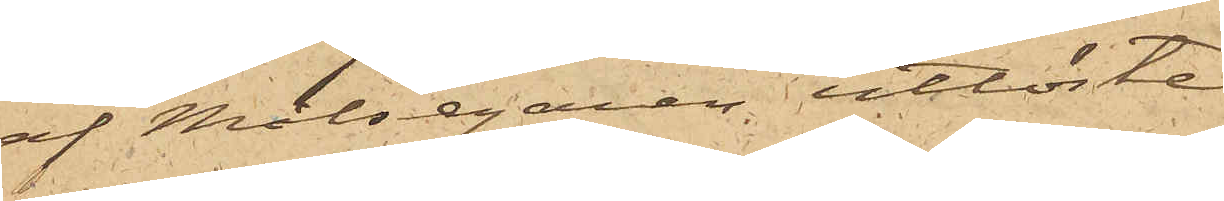af Målsegaren utlöste.
